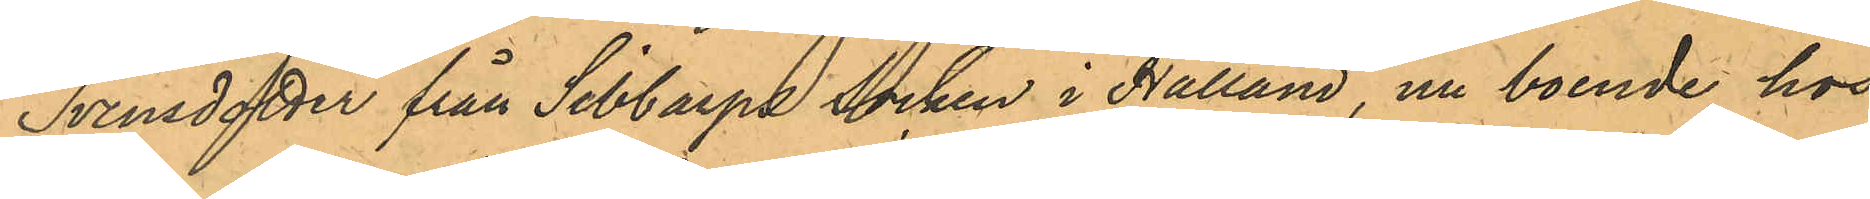Svensdotter från Sibbarps Socken i Halland, nu boende hos
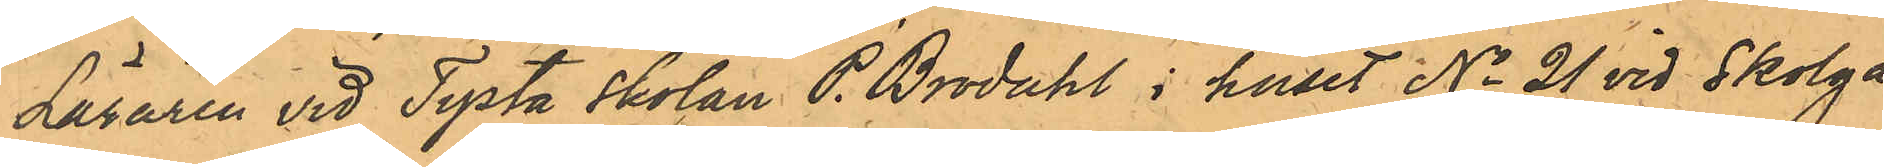Läraren vid Tysta skolan P. Brodahl i huset No 21 vid Skolga¬
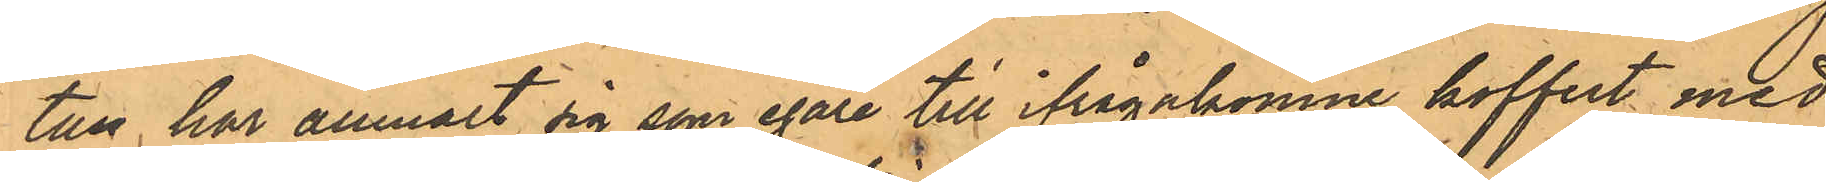tan har anmält sig som egare till ifrågakomne koffert med
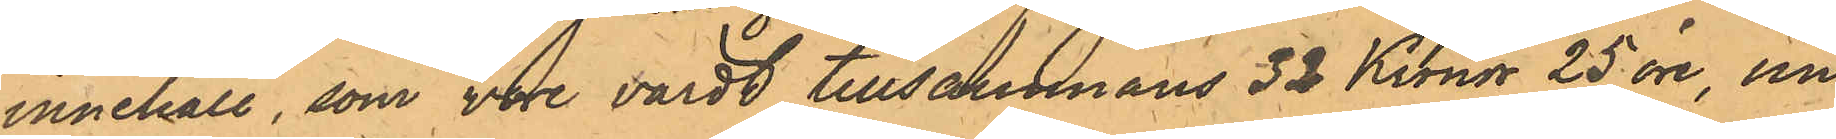innehåll, som vore värdt tillsammans 32 Kronor 25 öre, un¬
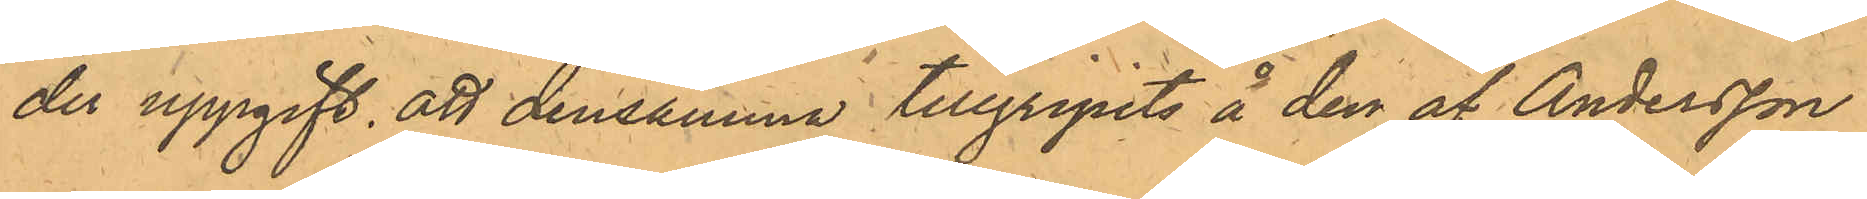der uppgift att densamma tillgripits å den af Andersson
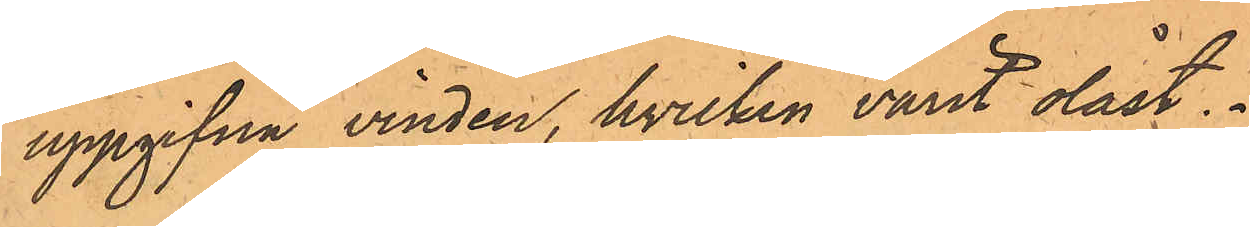uppgifna vinden, hvilken varit olåst.
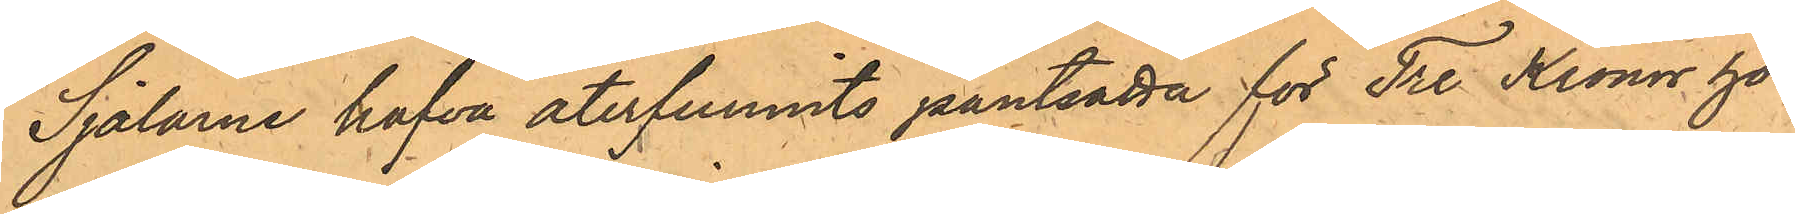Sjalarne hafva återfunnits pantsatta för Tre Kronor hos
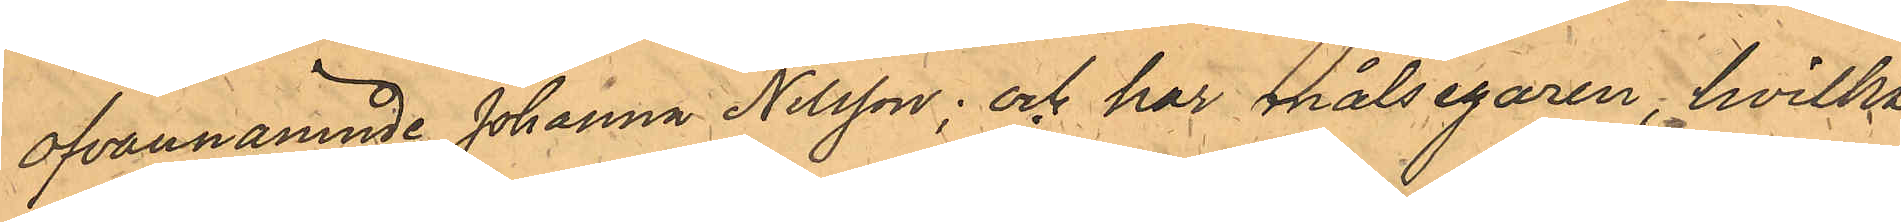ofvannämnde Johanna Nilsson; och har målsegaren, hvilka 
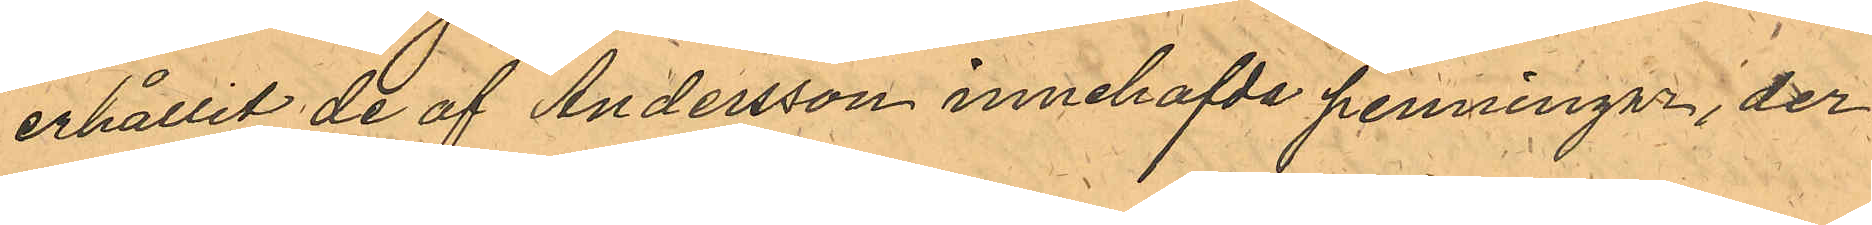erhållit de af Andersson innehafde penningar, der¬
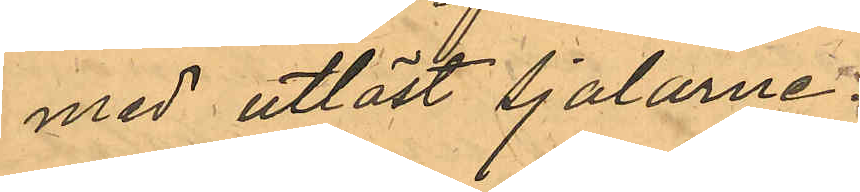med utlöst Sjalarne.
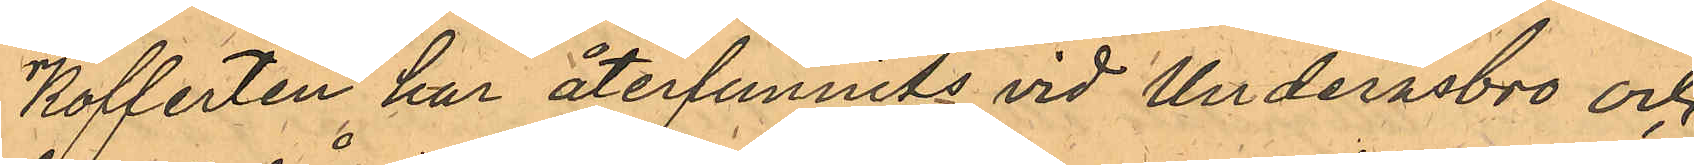Kofferten har återfunnit vid Underåsbro och
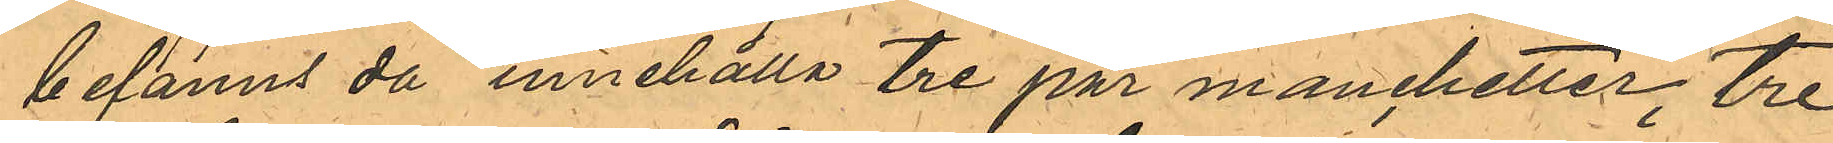befanns då innehålla tre par manchetter, tre
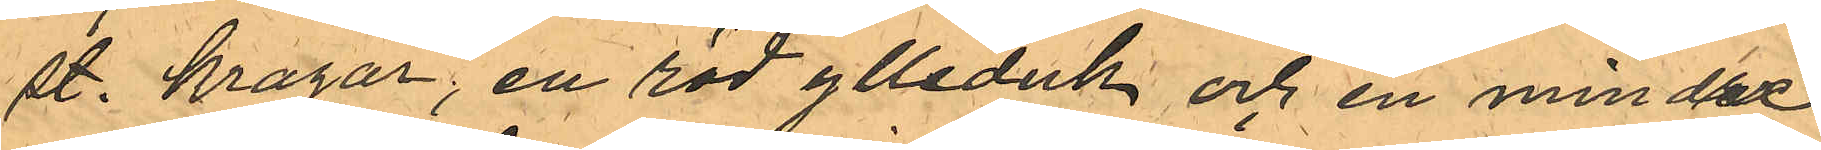st. kragar, en röd ylleduk och en mindre
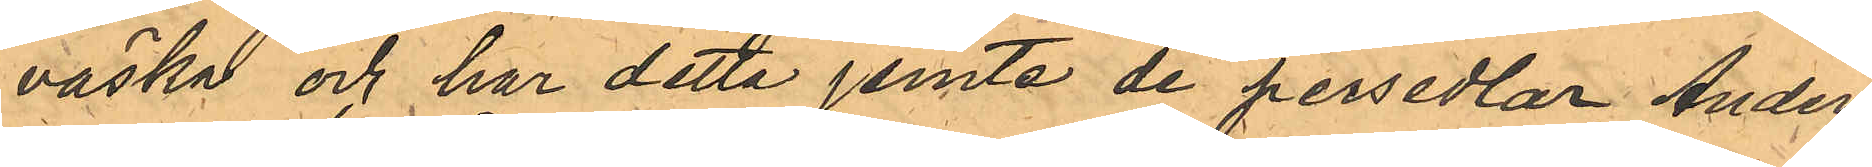väska och har detta jemte de persedlar Anders¬
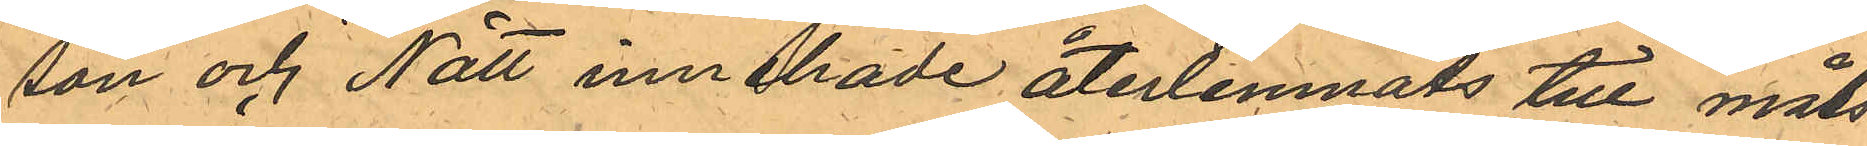son och Nätt innehade återlemnats till måls¬
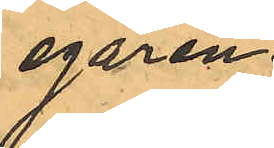egaren.
